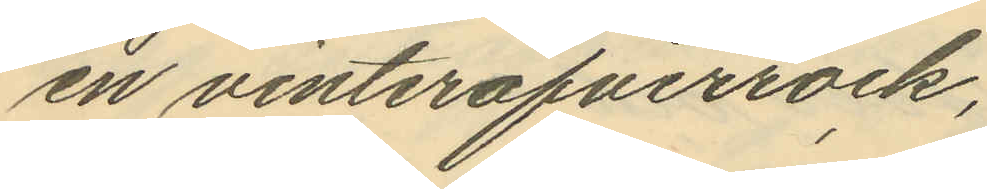en vinteröfverrock,
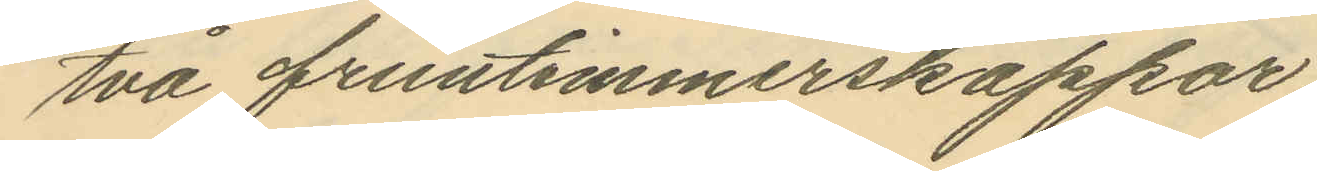två fruntimmerskappor
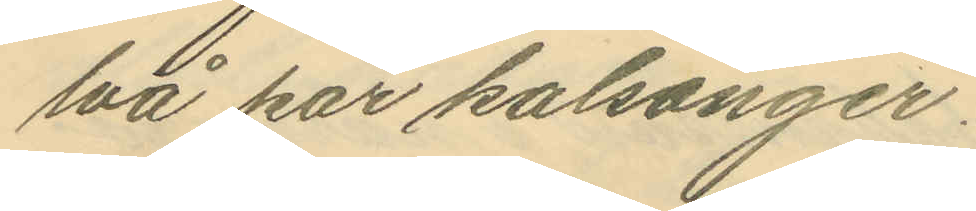två par kalsonger.
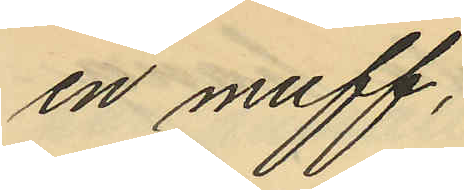en muff,
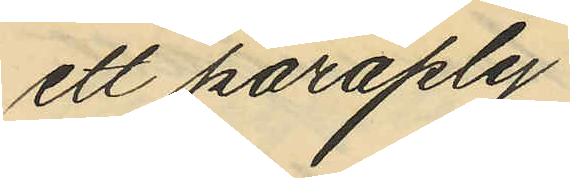ett paraply
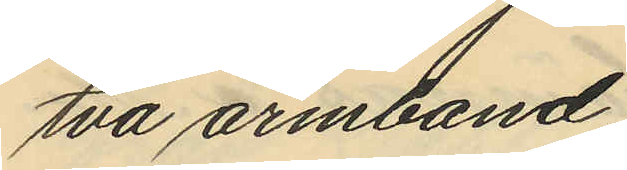två armband
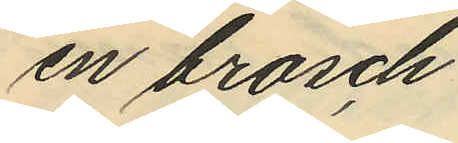en brosch
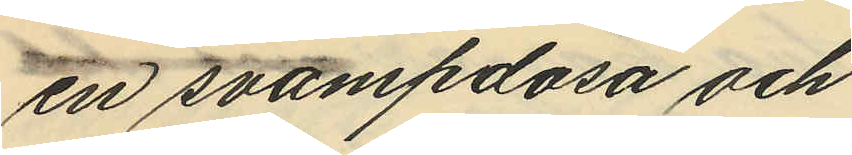en svampdosa och
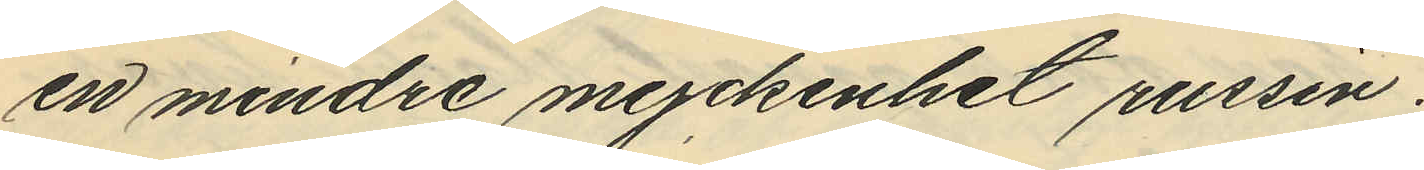en mindre myckenhet russin.
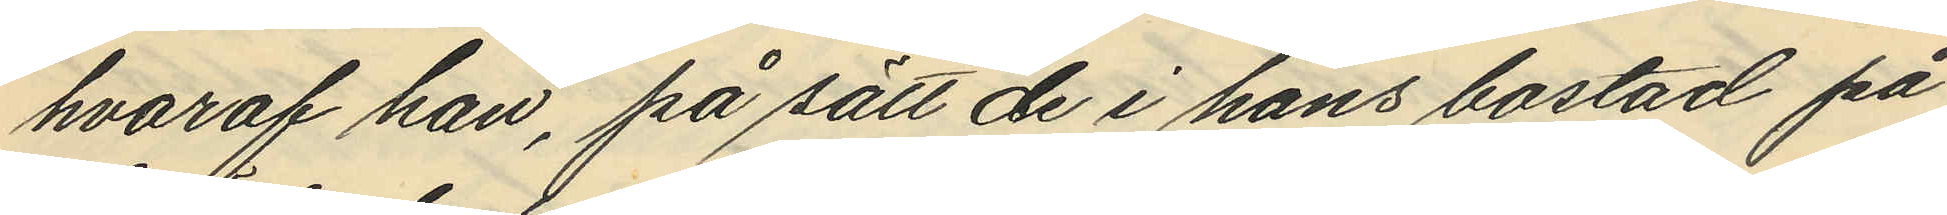hvaraf han, på sätt de i hans bostad på
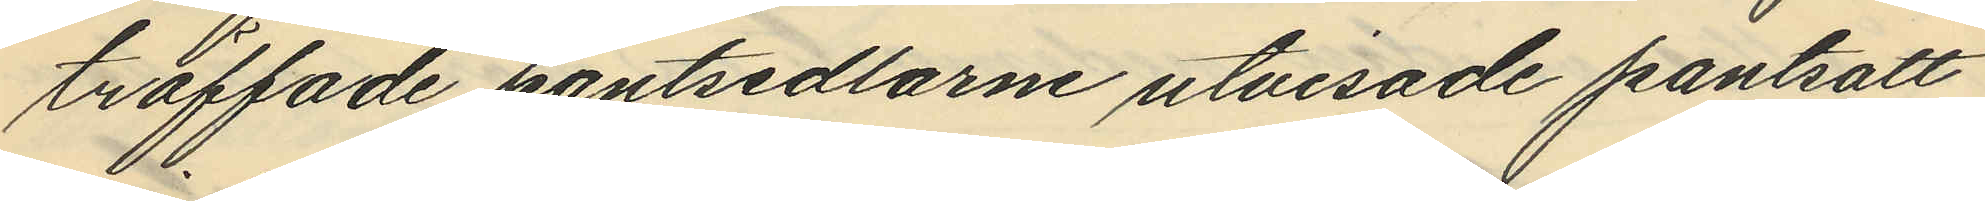träffade pantsedlarne utvisade pantsatt
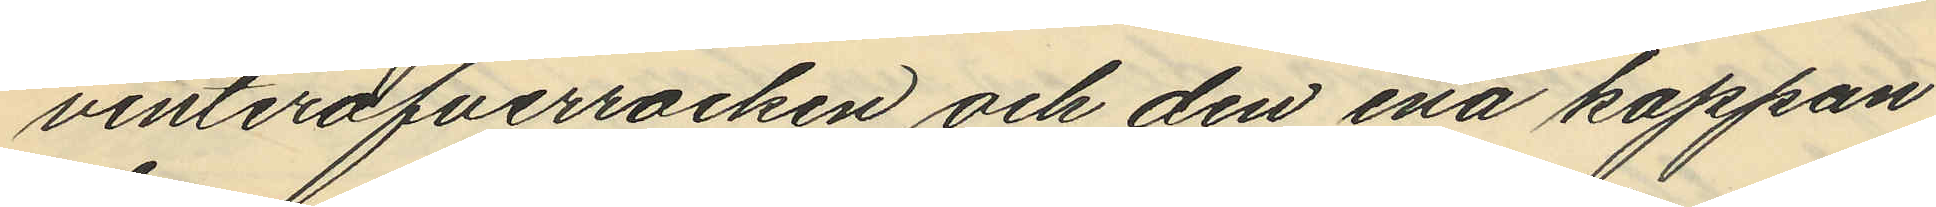vinteröfverrocken och den ena kappan
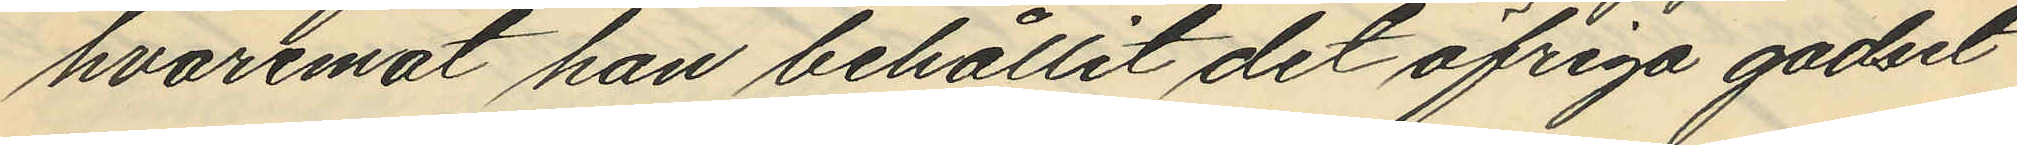hvaremot han behållit det öfriga godset
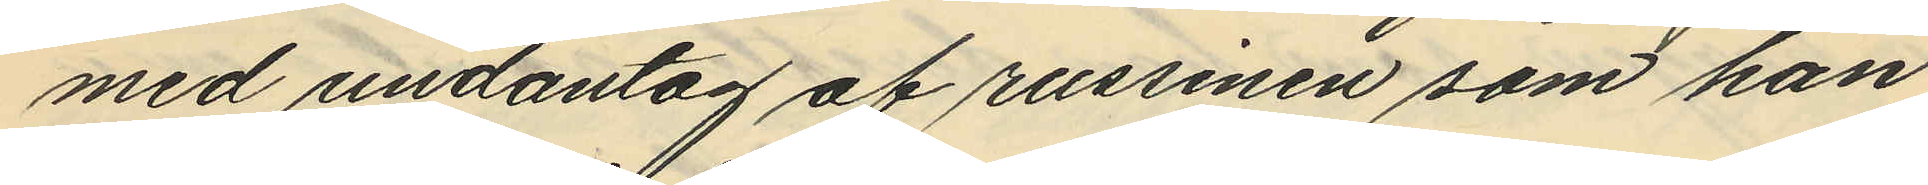med undantag af russinen som han
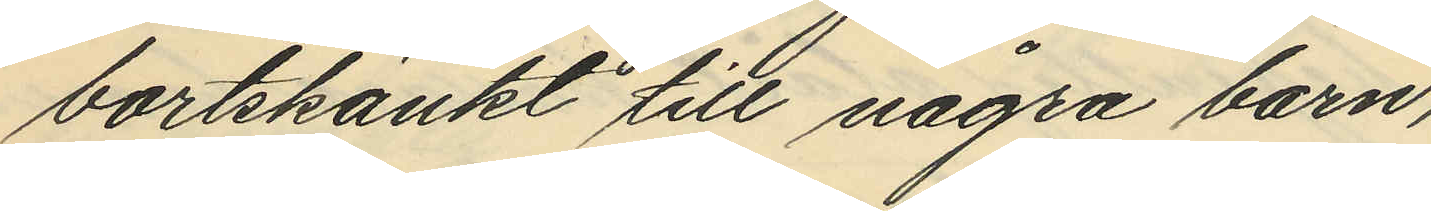bortskänkt till några barn,
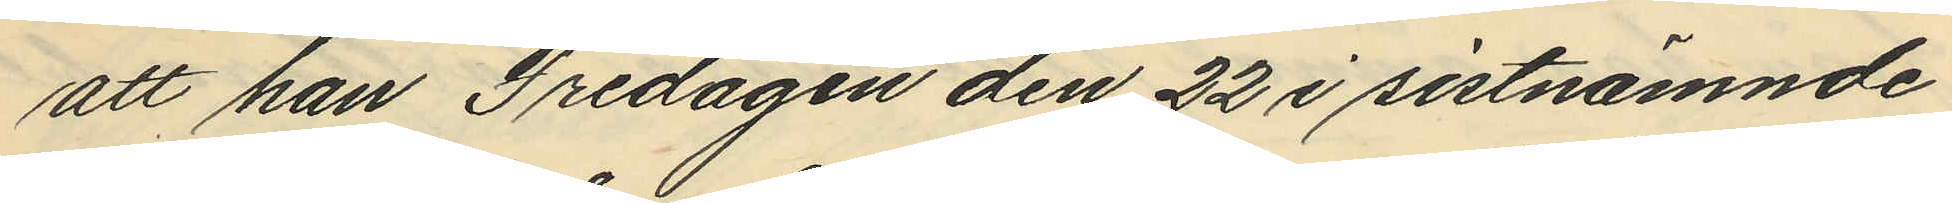att han Fredagen den 22 i sistnämnde
